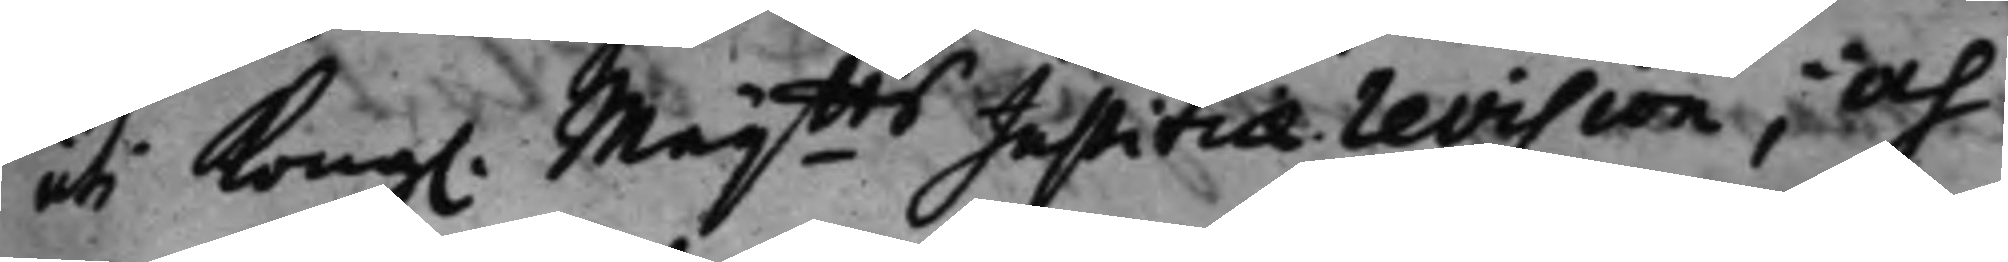uti Kong. Maijtts Justitiærevision; Och 
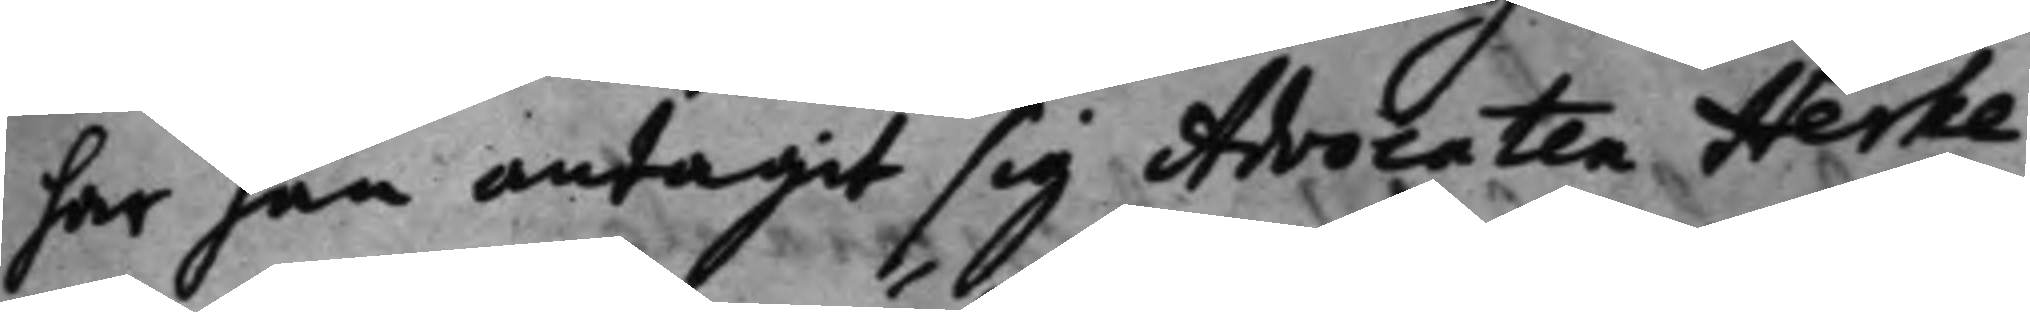har han antagit sig Advocaten Herke¬
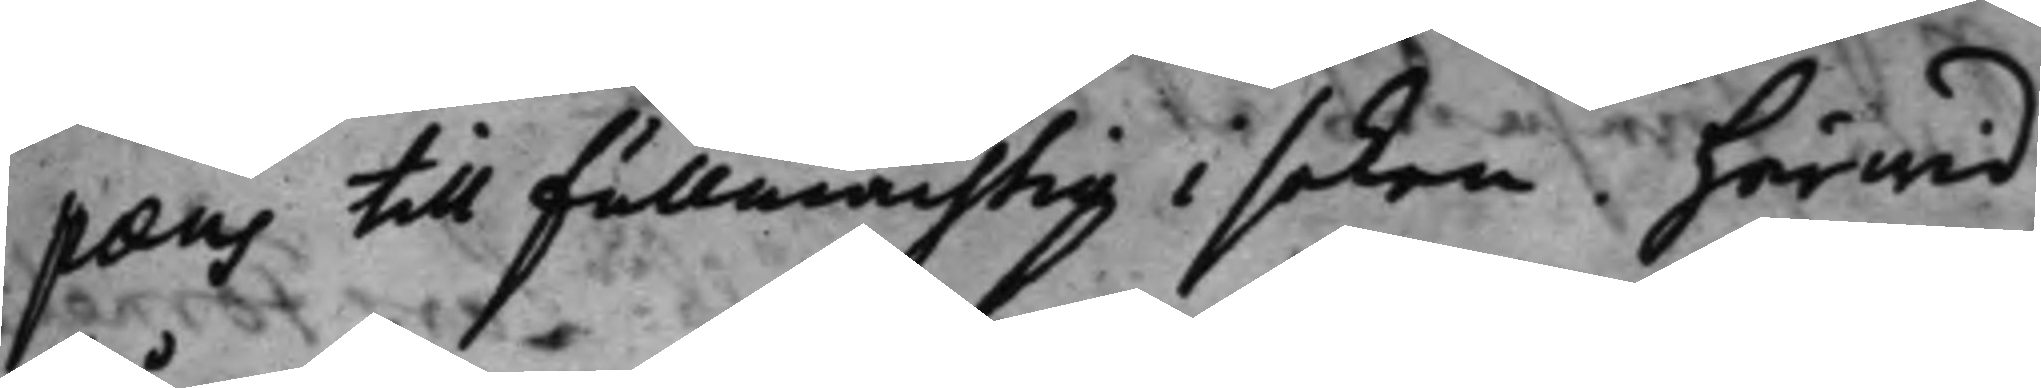pæus till fullmächtig i saken. härwid
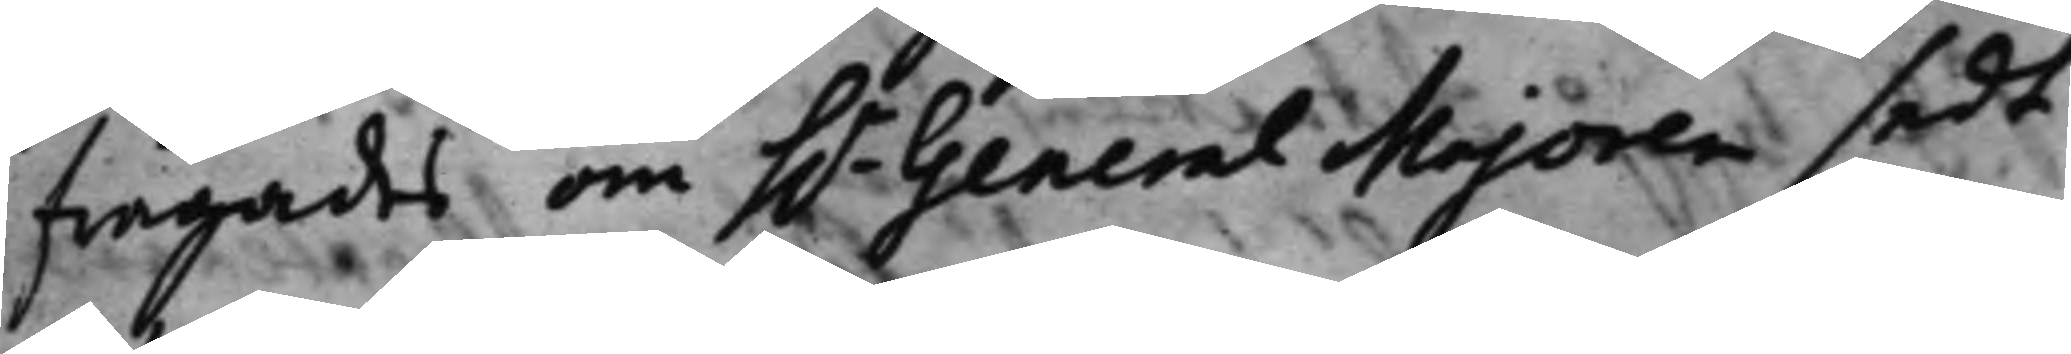frågades, om h.r General Majoren sedt 
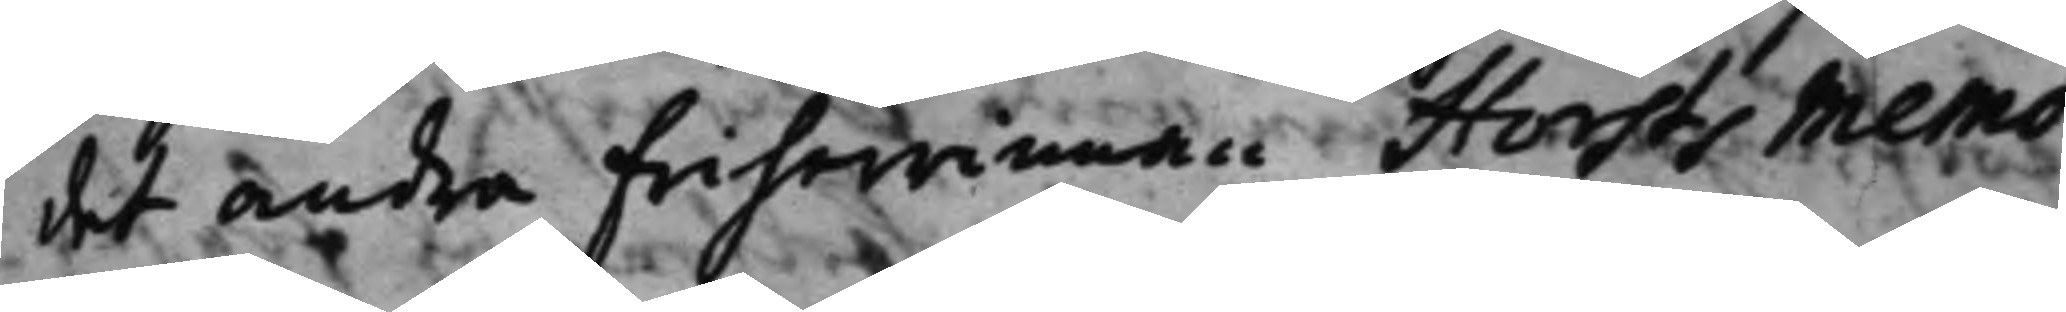det andra Friherrinnan Horsts Memo¬
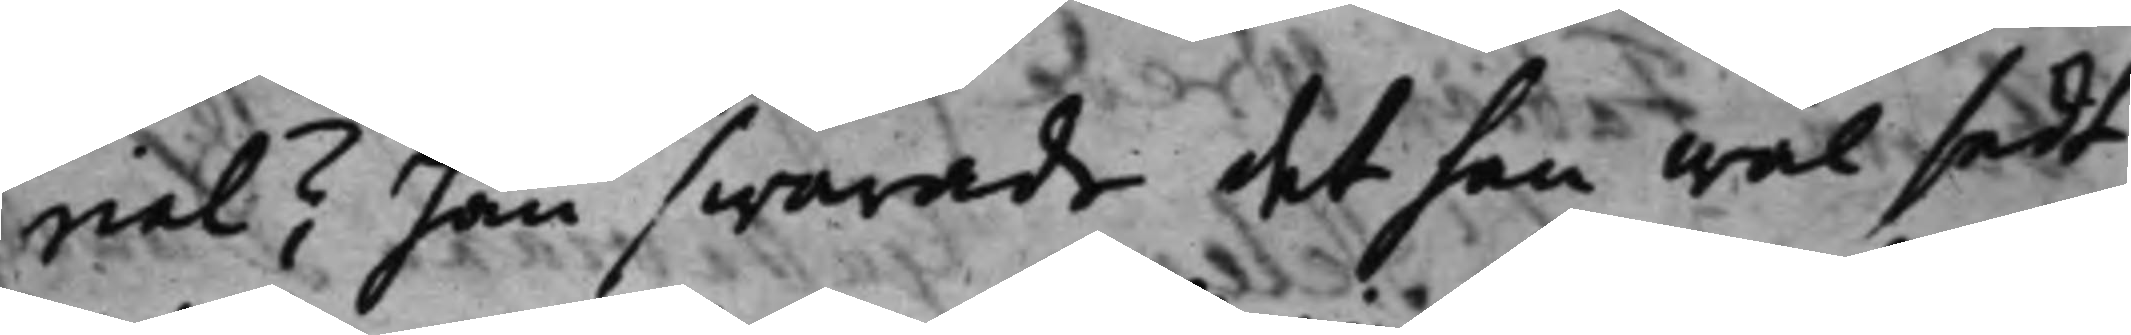rial? han swarade det han wäl sedt
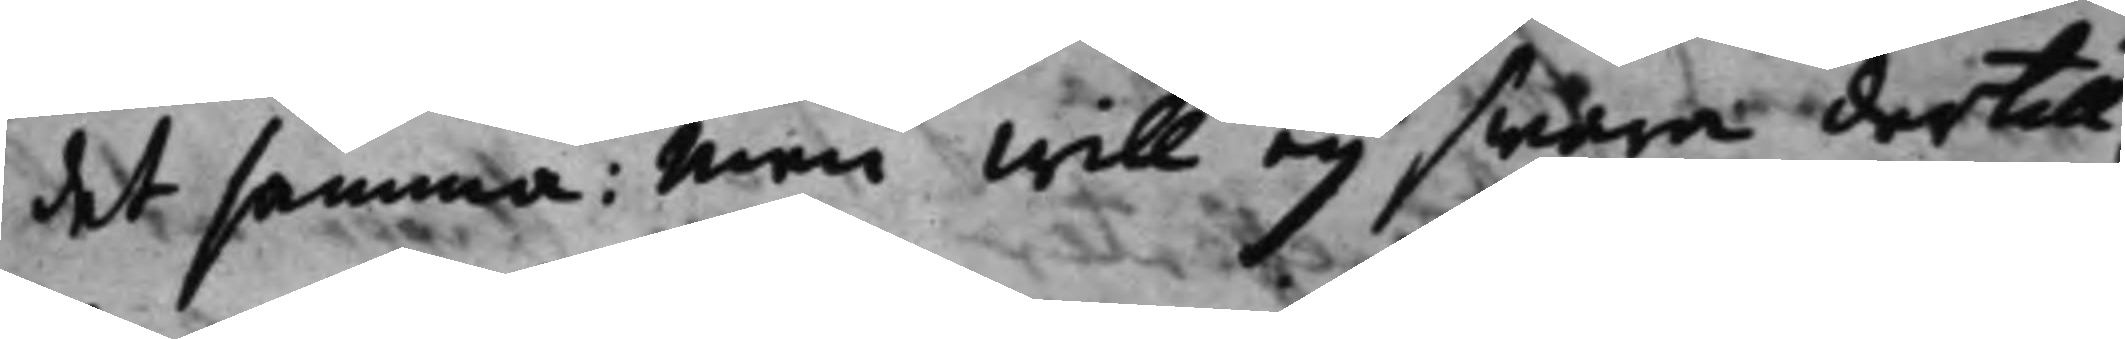det samma; Men will eij swara dertill,
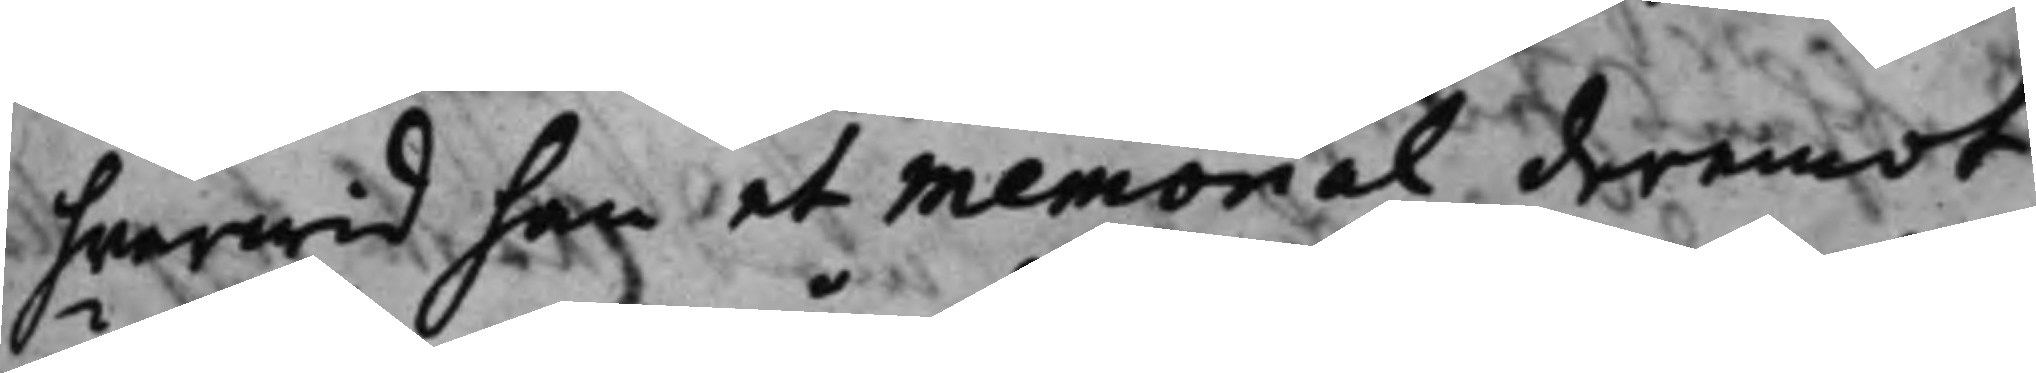hwarwid han et memorial deremot
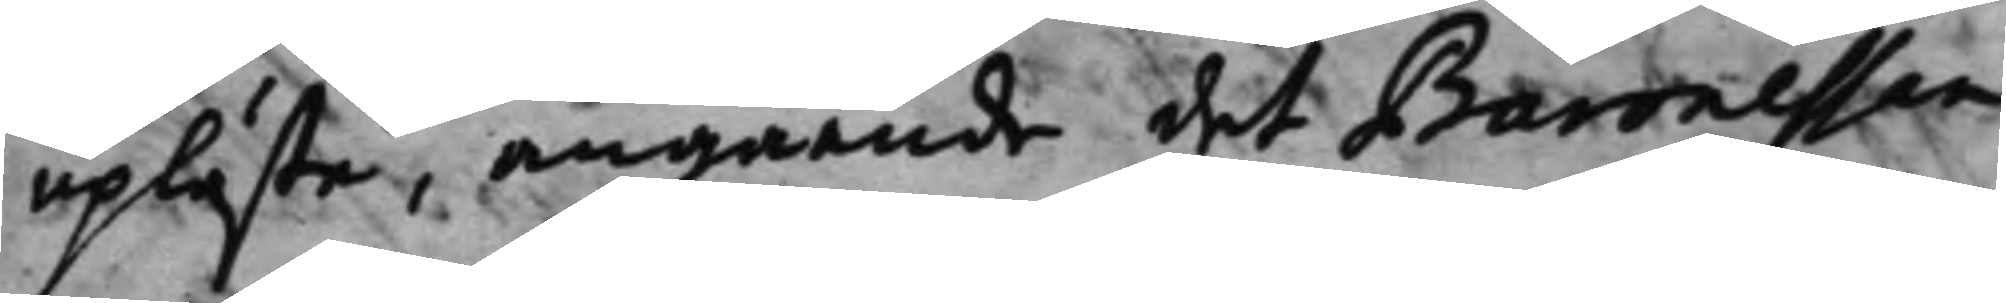upläste, angående det Baronessen
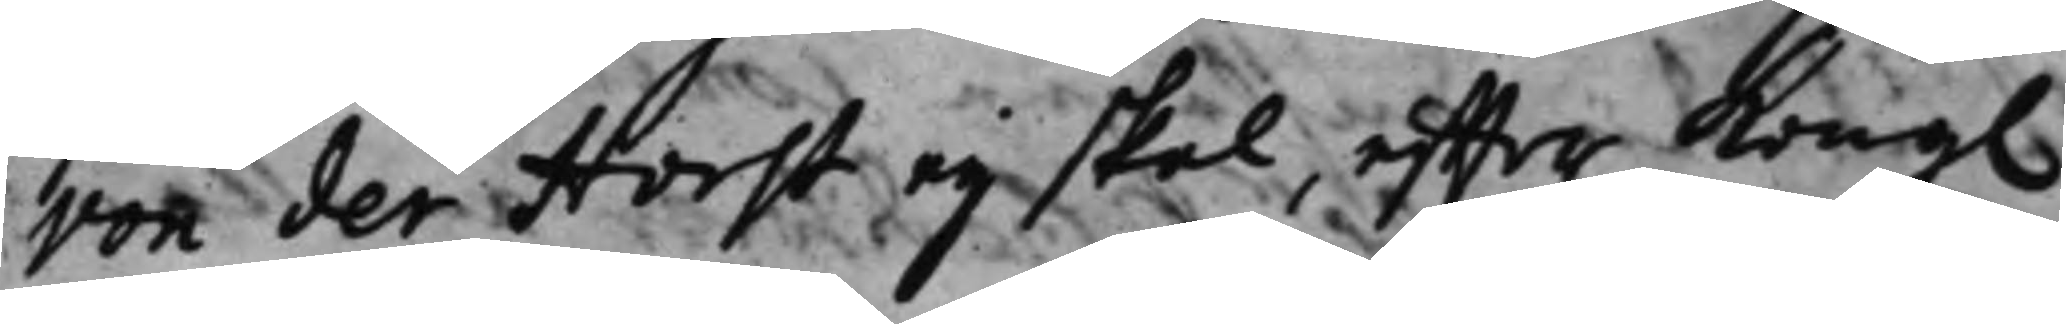von der Horst eij skal, effter Kong. 
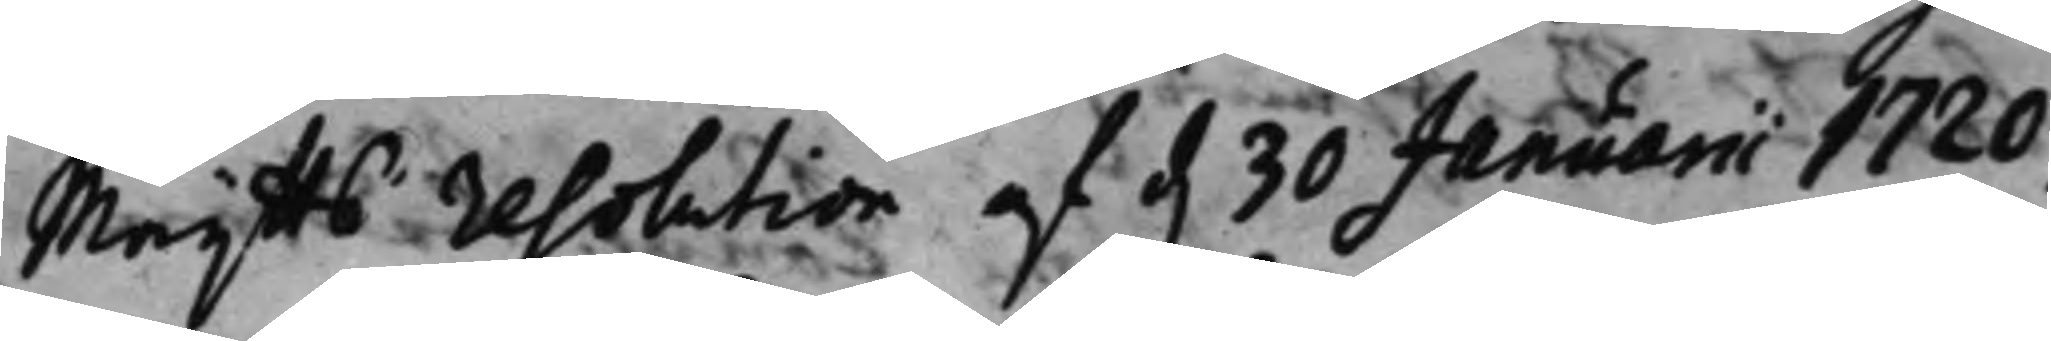Maijtts resolution af d. 30 Januarii 1720, 
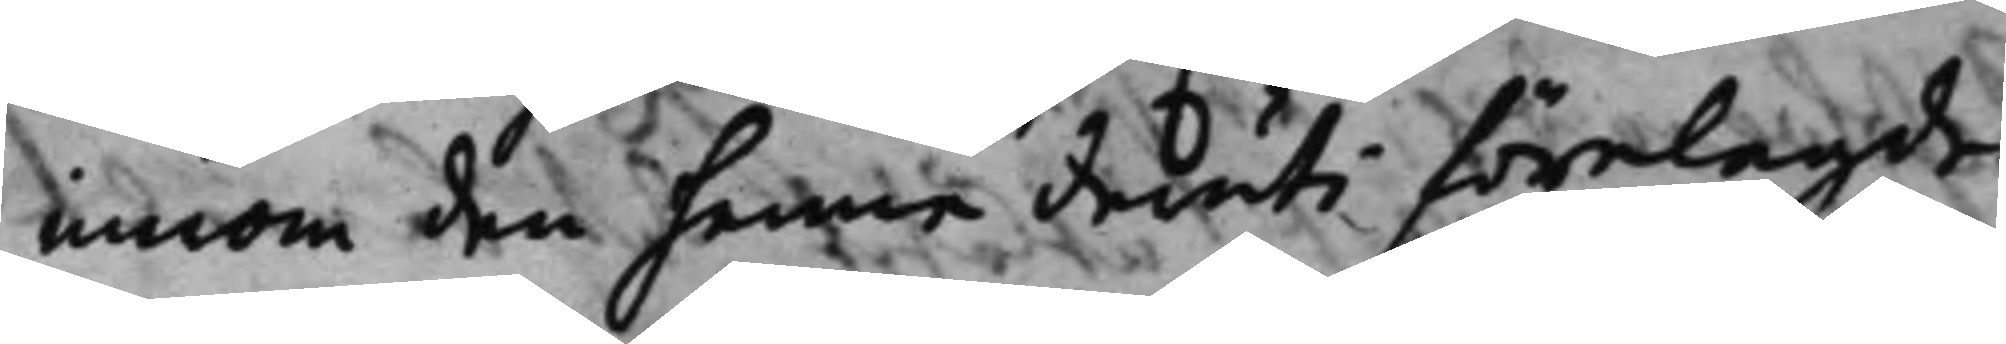innom den henne deruti förelagde
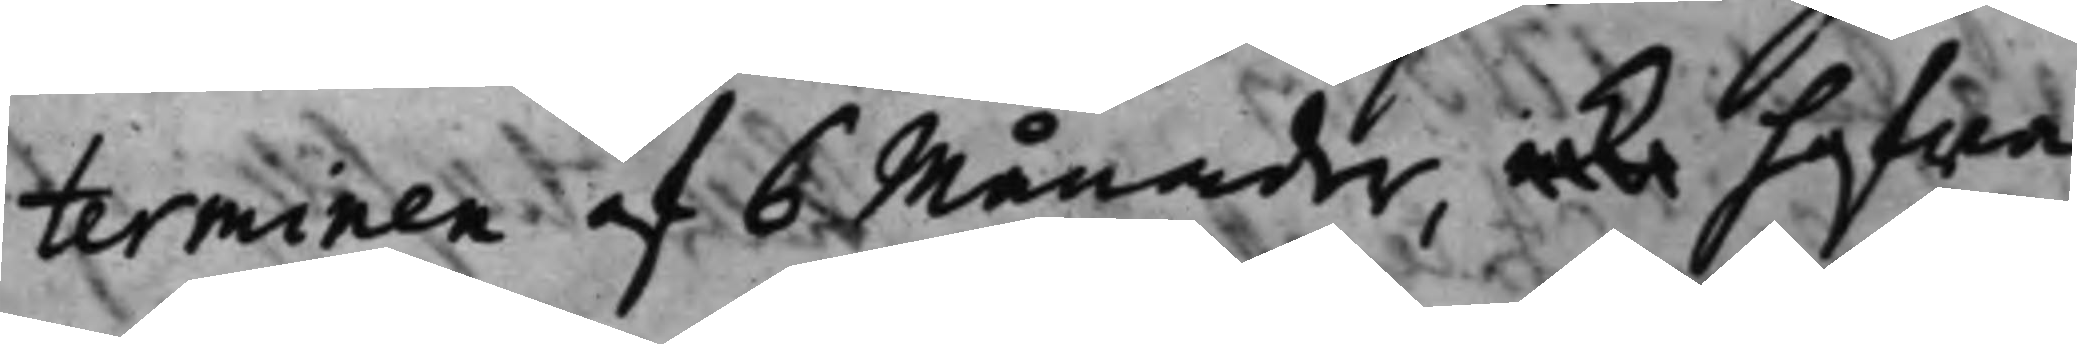terminen af 6 Månader, icke hafwa
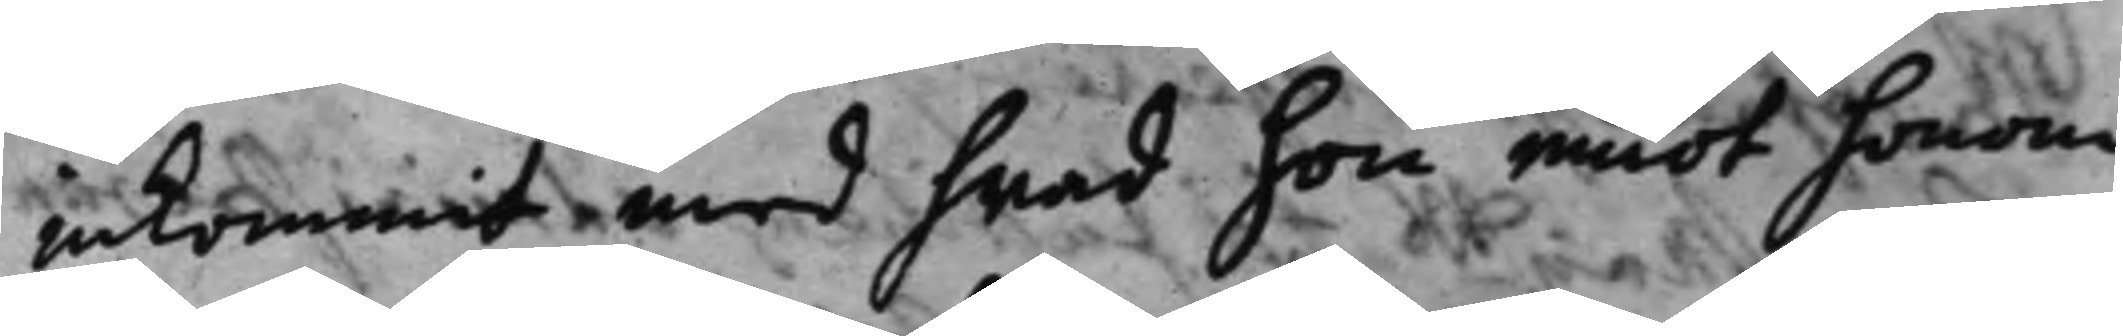inkommit med hwad hon emot honom
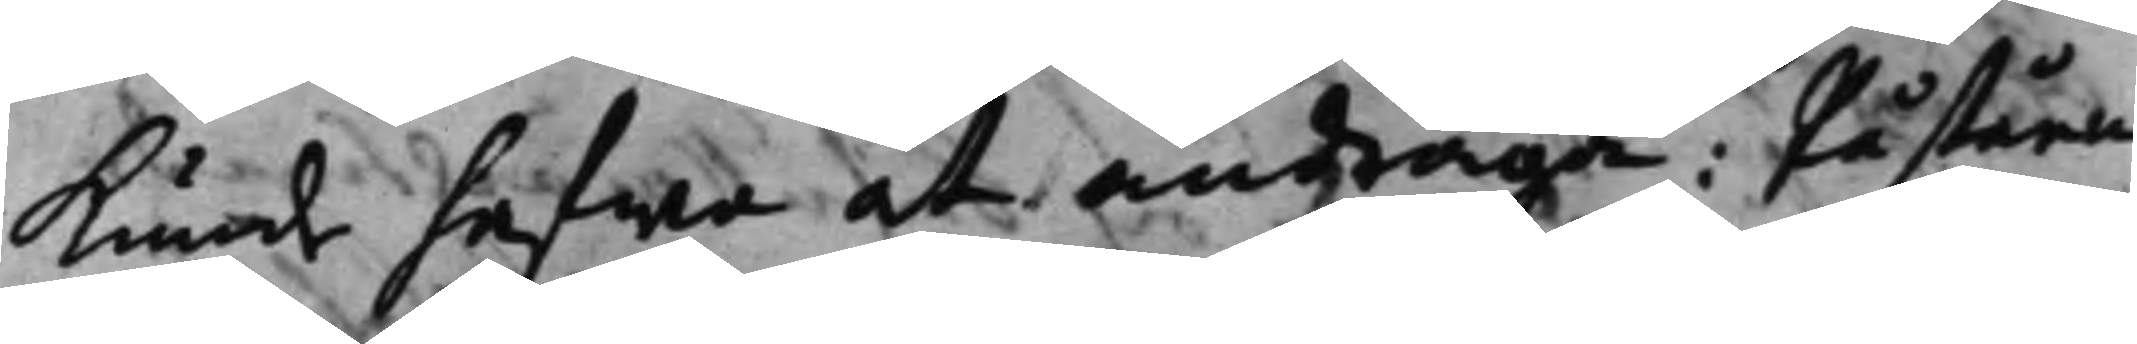kunde hafwa at andraga: Påståen¬
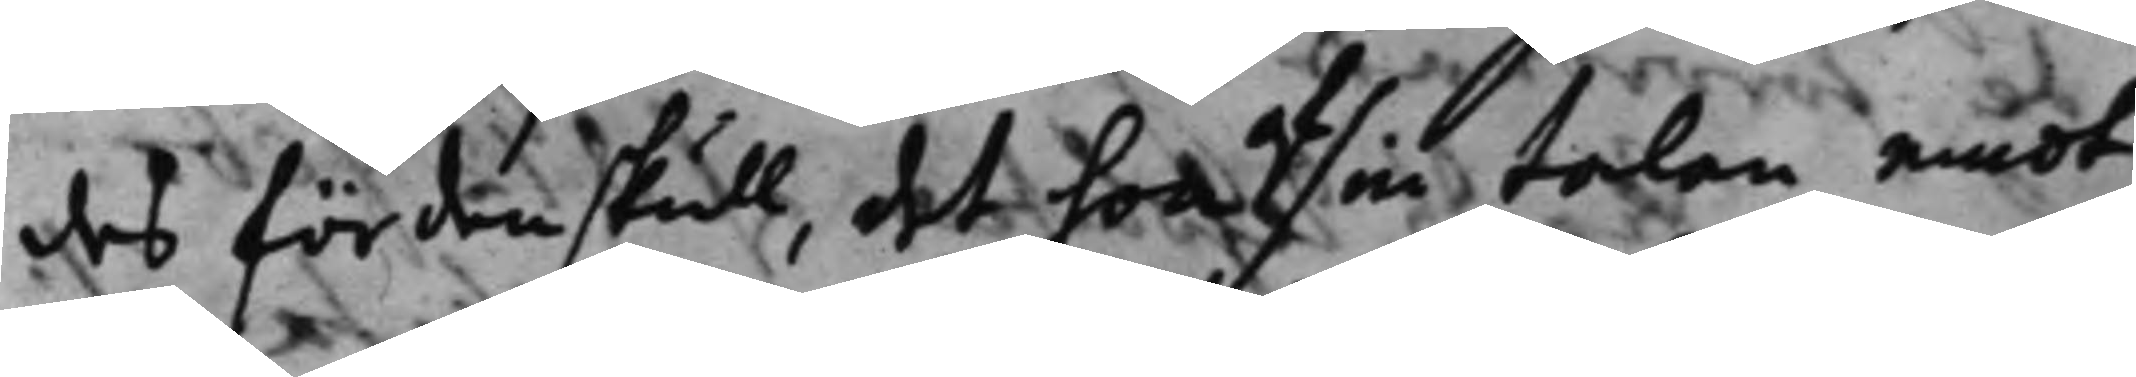des fördenskull, det hon sin talan emot
